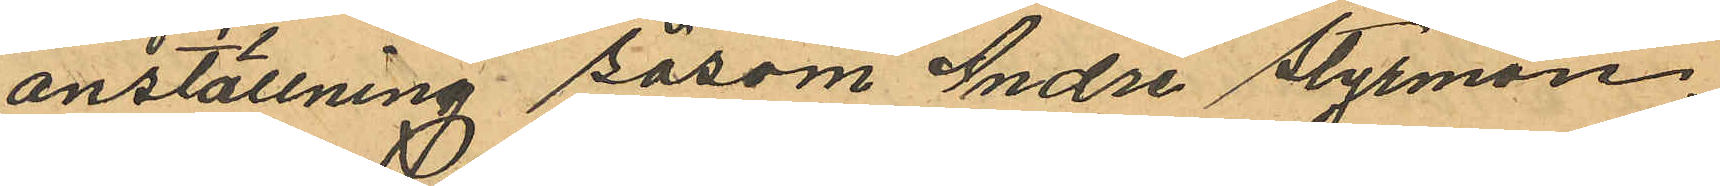anställning såsom andre styrman,
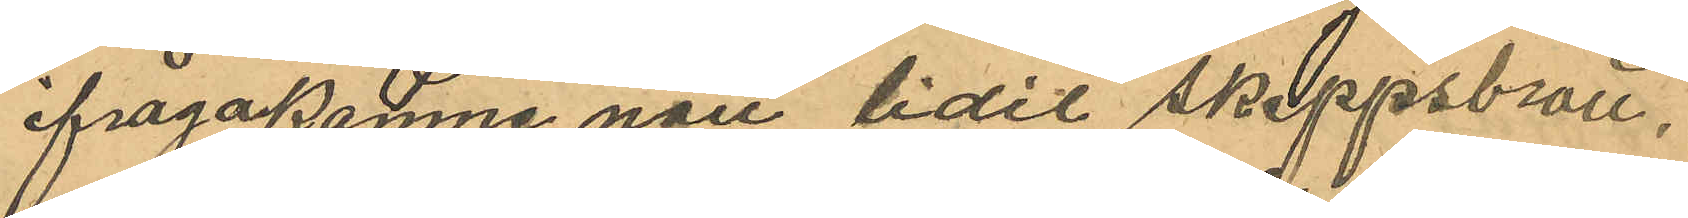ifrågakomne natt lidit skeppsbrott,
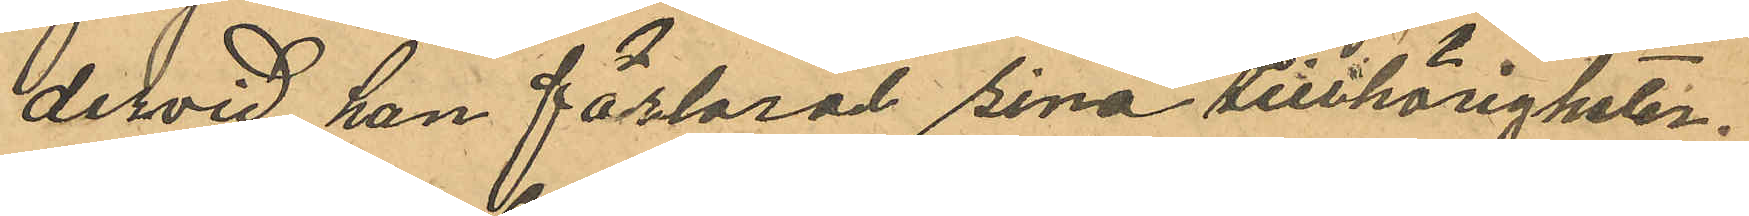dervid han förlorat sina tillhörigheter;
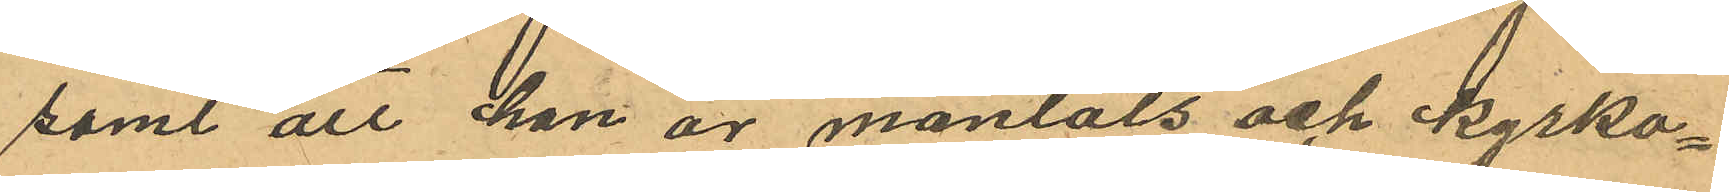samt att han är mantals och kyrko¬
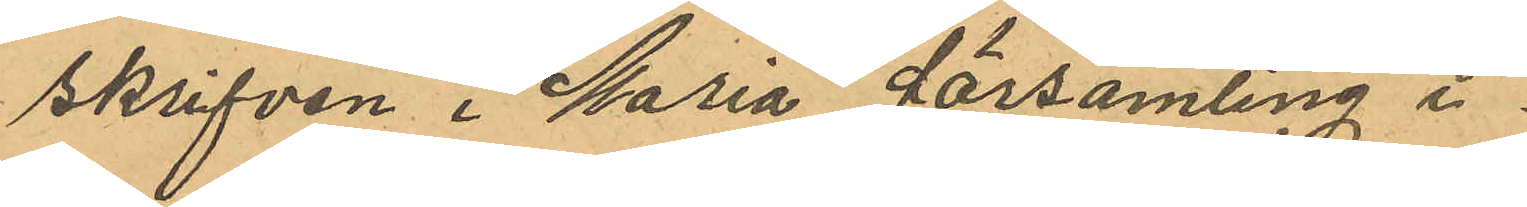skrifven i Maria församling i
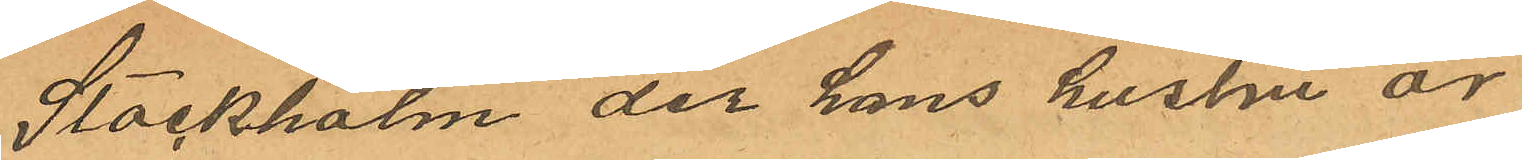Stockholm der hans hustru är
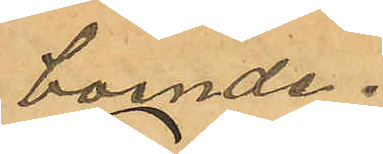boende.
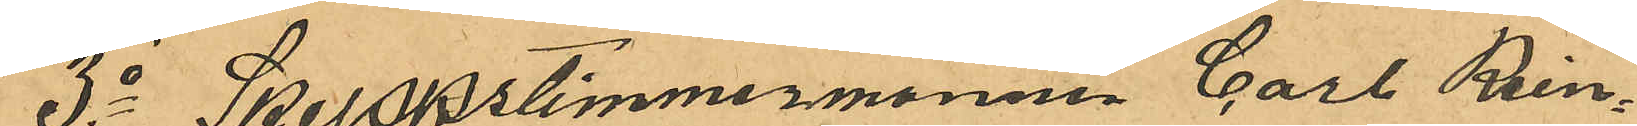3o Skeppstimmermannen Carl Rein¬
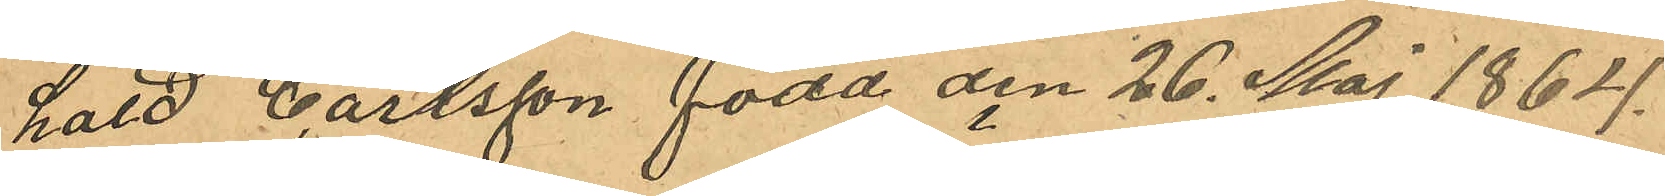hard Carlsson född den 26 Maj 1864
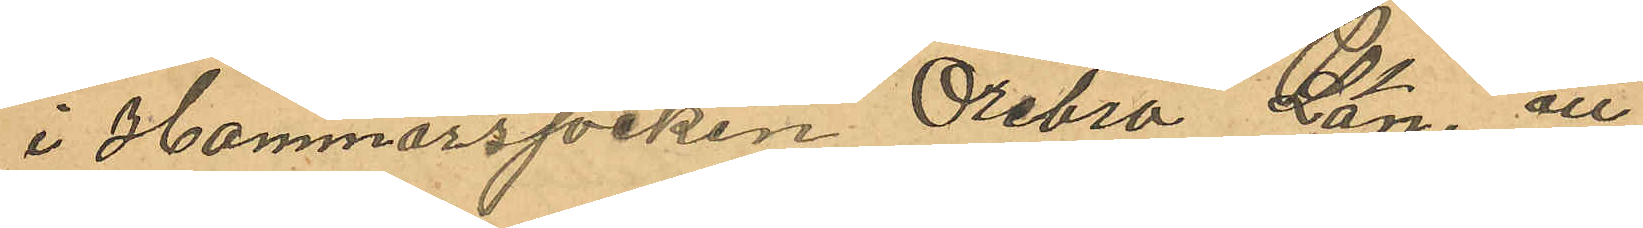i Hammarssocken Örebro Län, att
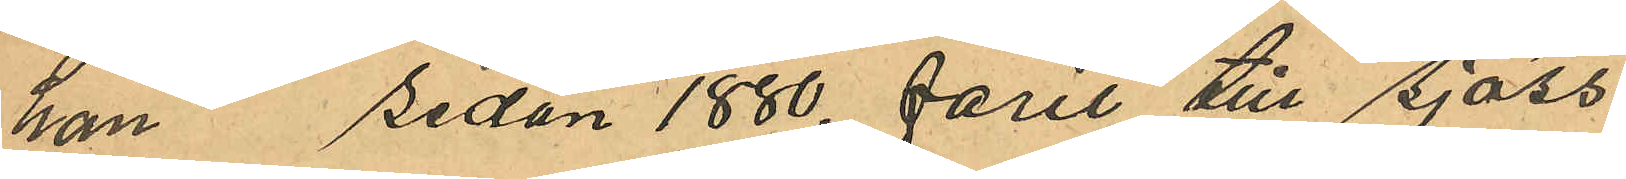han sedan 1880 farit till sjöss
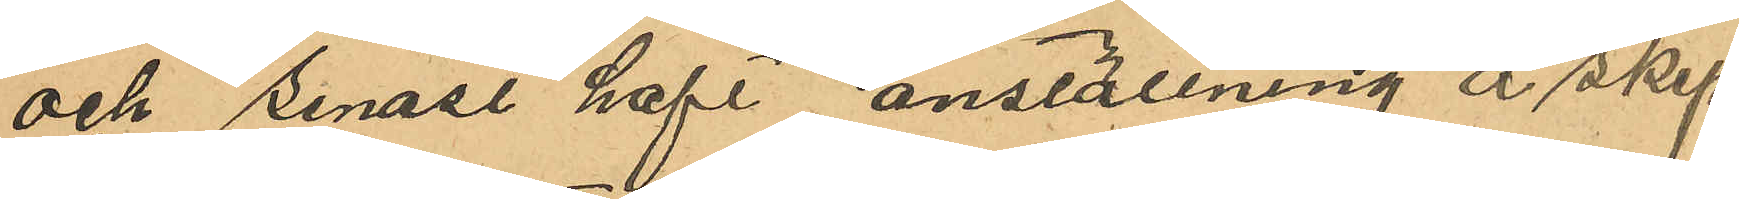och senast haft anställning å skep¬
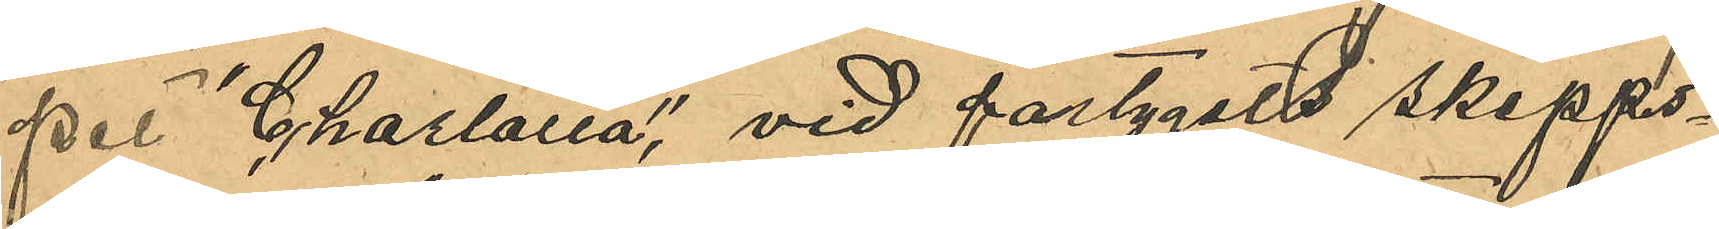pet "Charlotta", vid fartygets skepps¬
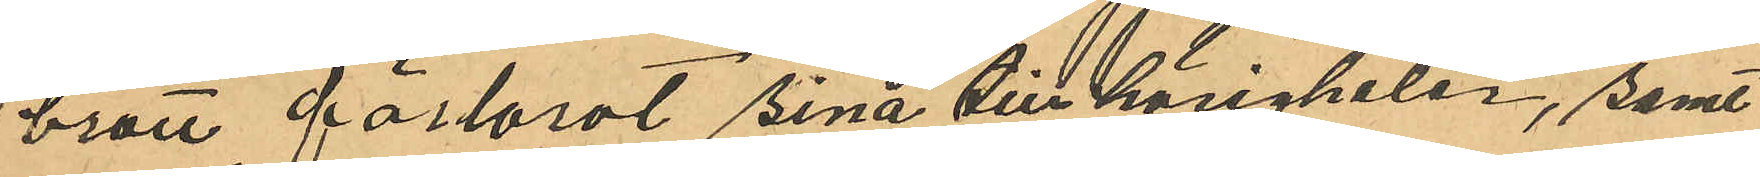brott förlorat sina tillhörigheter, samt
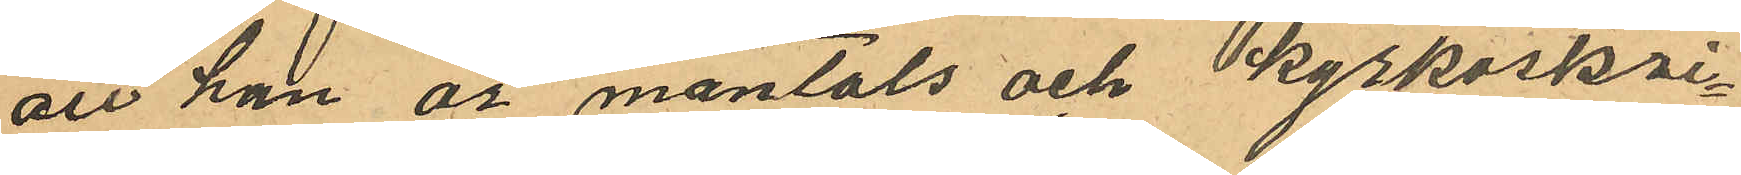att han är mantals och kyrkoskri¬
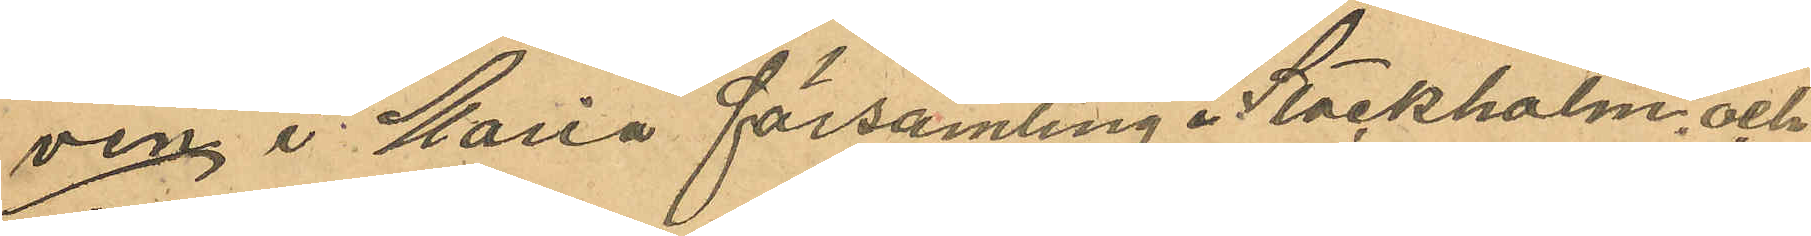ven i Maria församling i Sockholm, och
